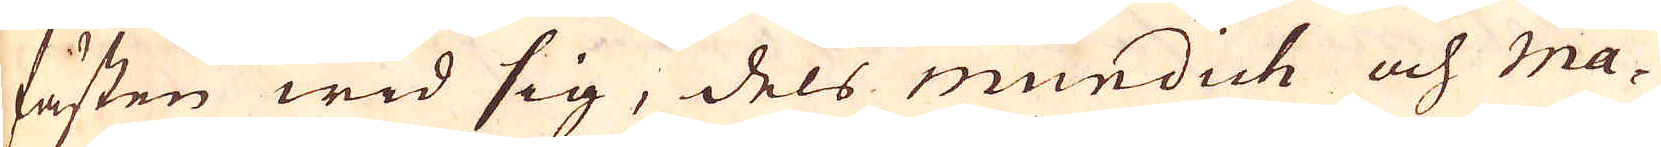fästen wid sig, dels mundich och Ma-
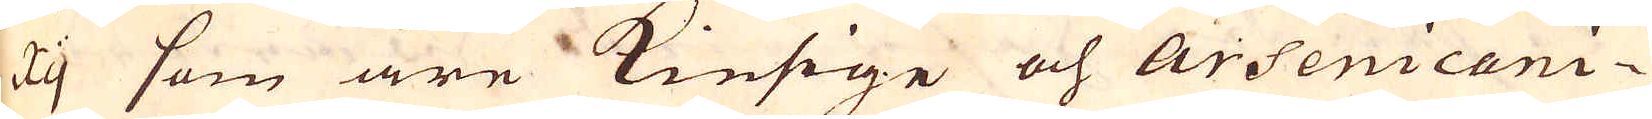xy som äre Kiesige och Arsenicani-
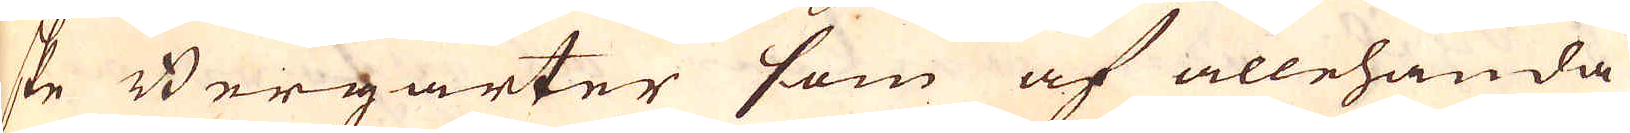ske Bergarter som af allehanda
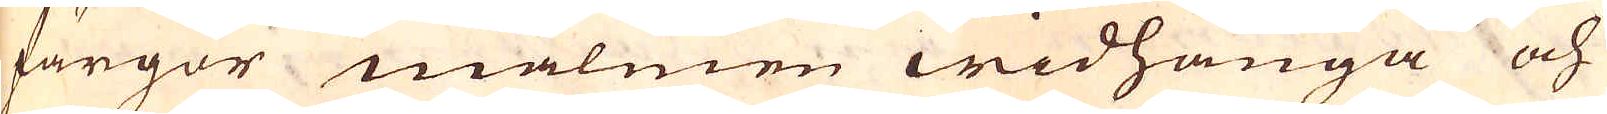färgor malmen widhänga och
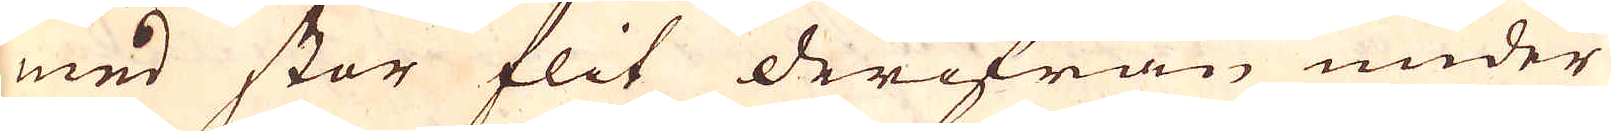med stor flit derifrån under
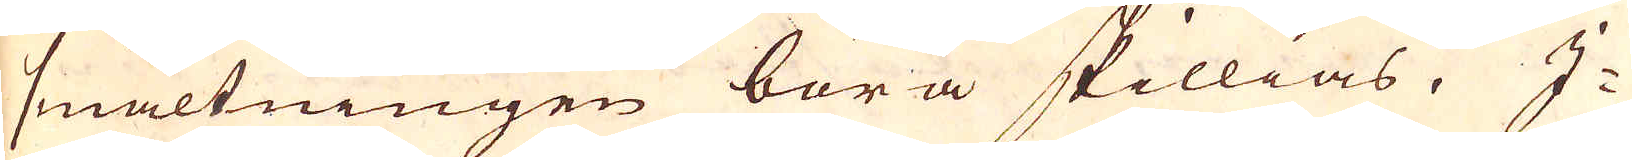smältningen böra skillias. I-
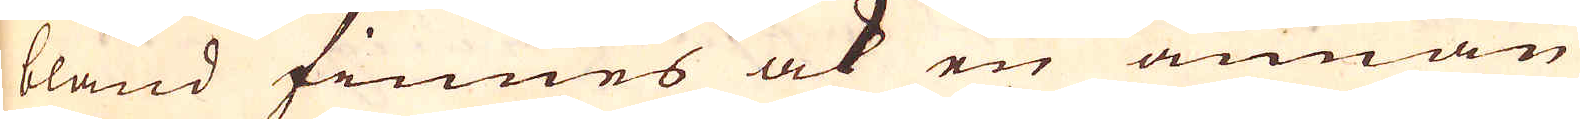bland finnes ock en annan
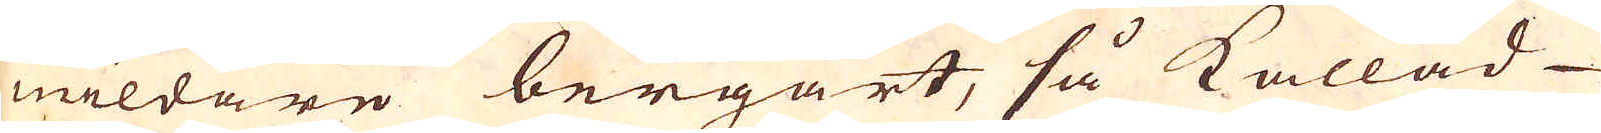mildare bergart, så kallad
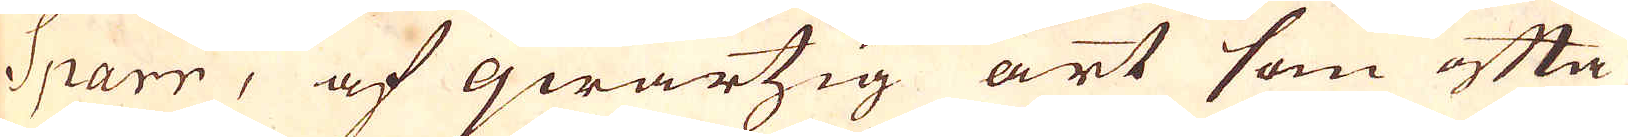Sparr, af qwartzig art som ofta
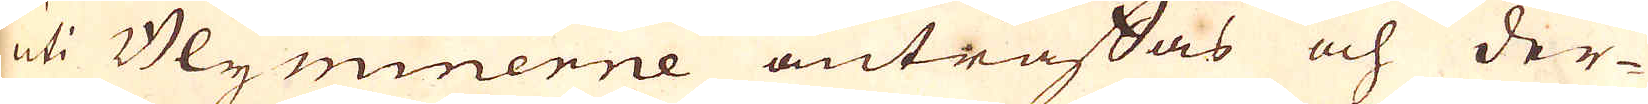uti Blyminerne anträffas och der-
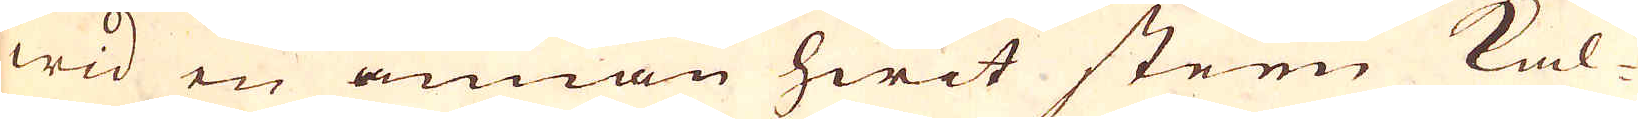wid en annan hwit steen kal-
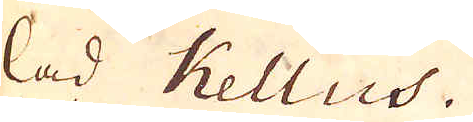lad Kellus.
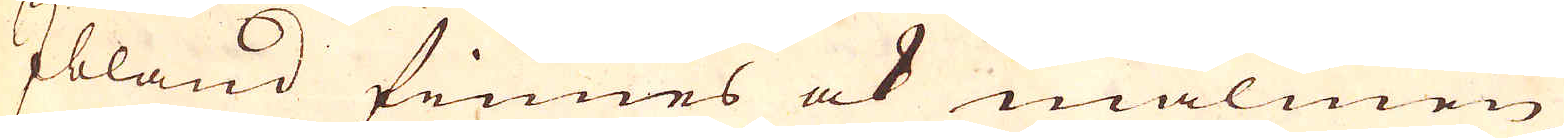Ibland finnes ock malmen
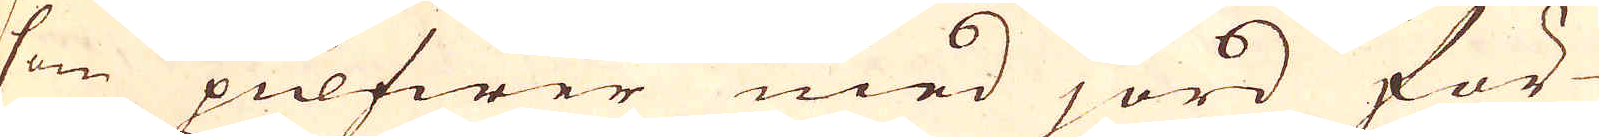som pulfwer med jord för-
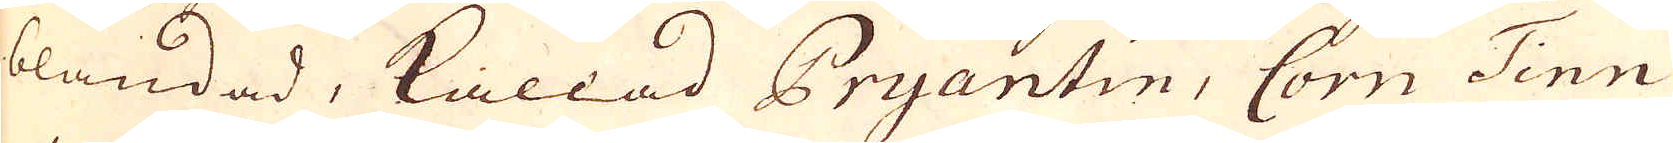blandad, kallad Pryantin, Corn Tinn
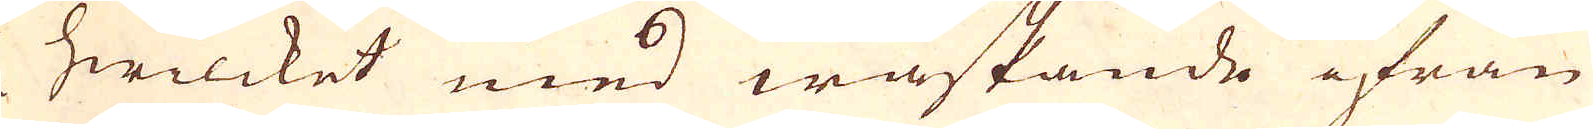hwilcket med waskande ifrån
